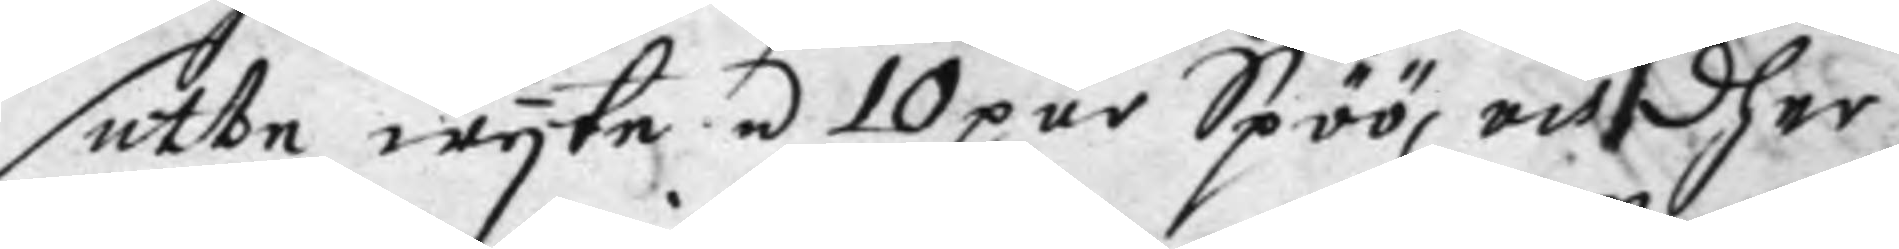sette wyte á 10 pars Spöö, och dher
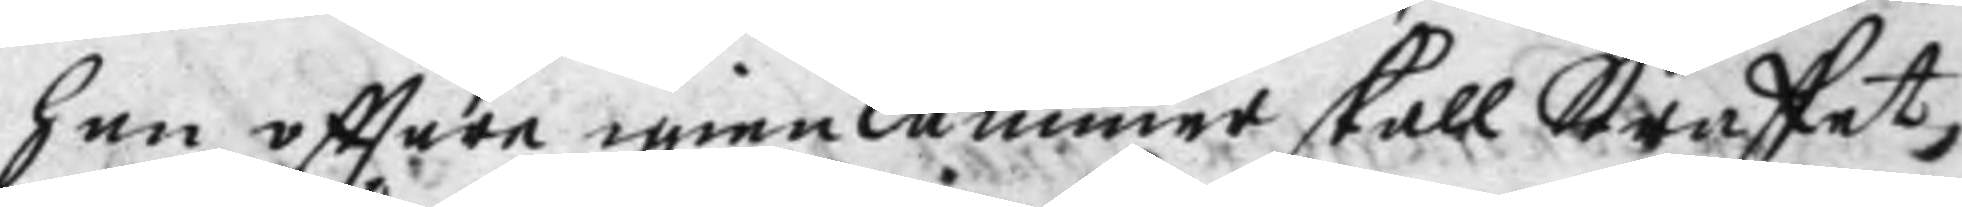han eftter igienkånner skall Straffet
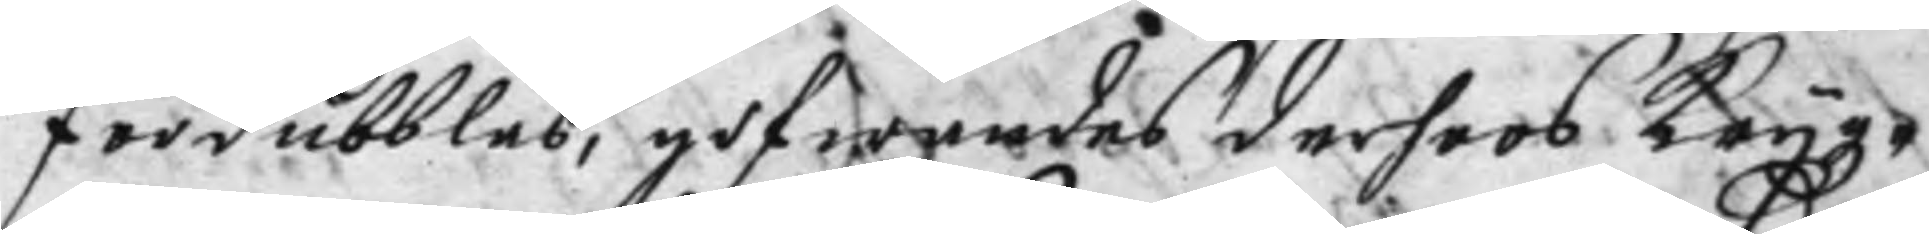fördubblas, gifwandes derhoos Krygz¬
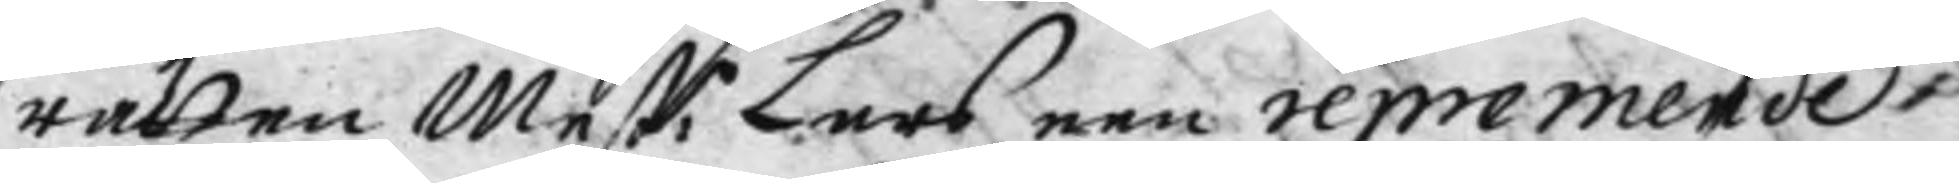rätten Mest:r Lars een repremende
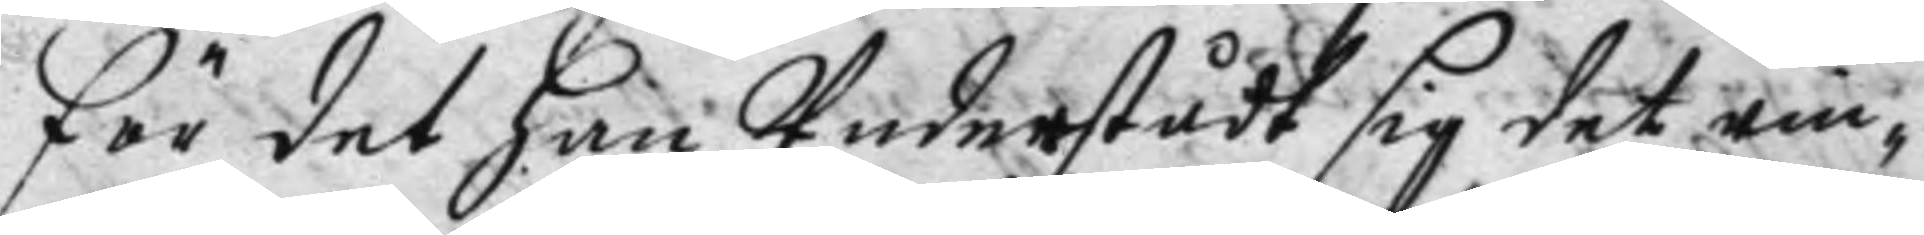för det han Undstådt sig det rin¬
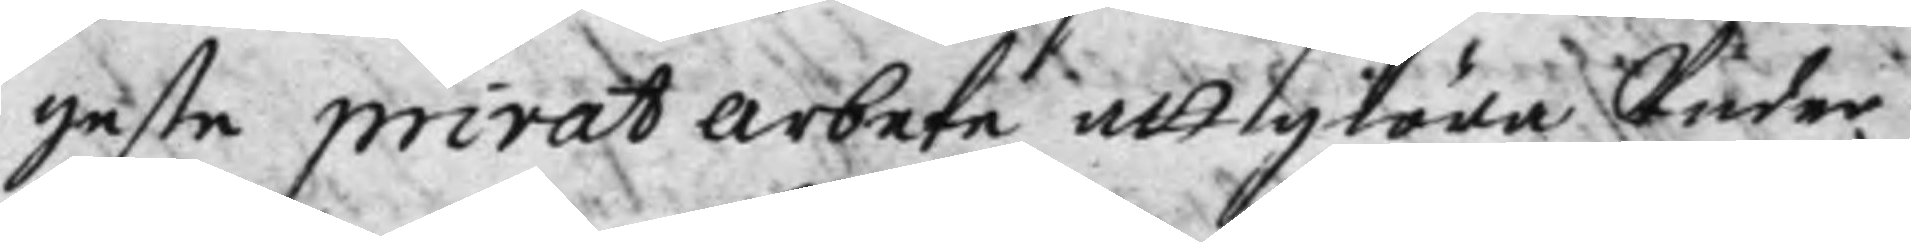geste privat arbete att giöra Under
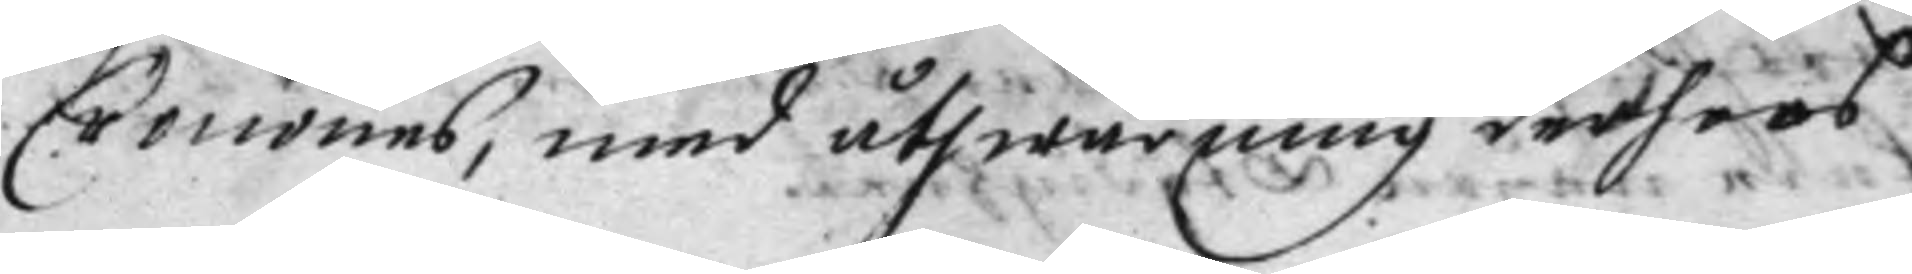Cronones, med åthwarning derhoos
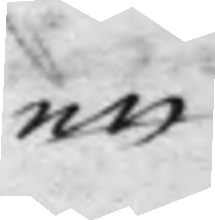att
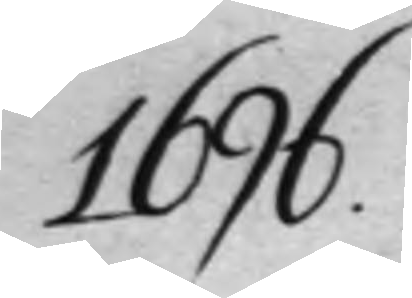1696.
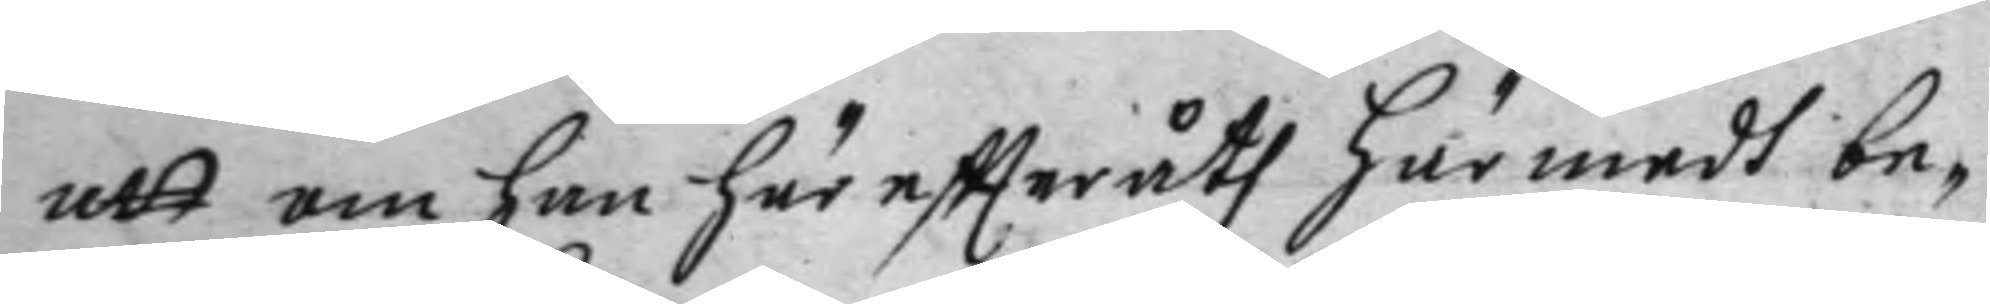att om han häreftteråth här medh be¬
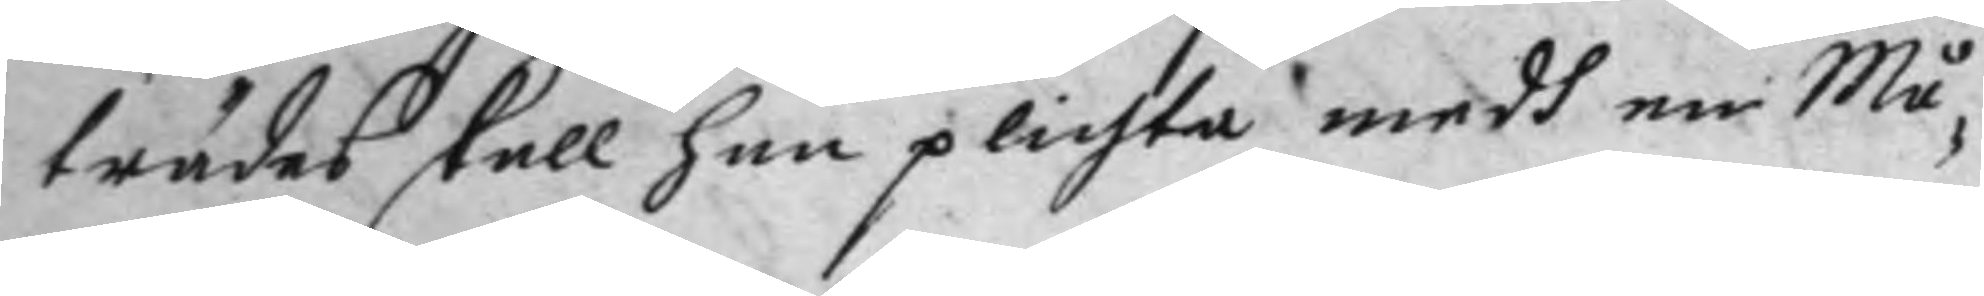trädes skall han plichta medh en Må¬
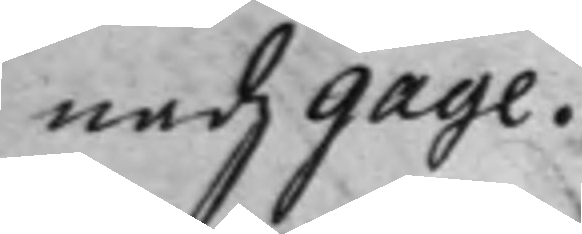nadz gage.
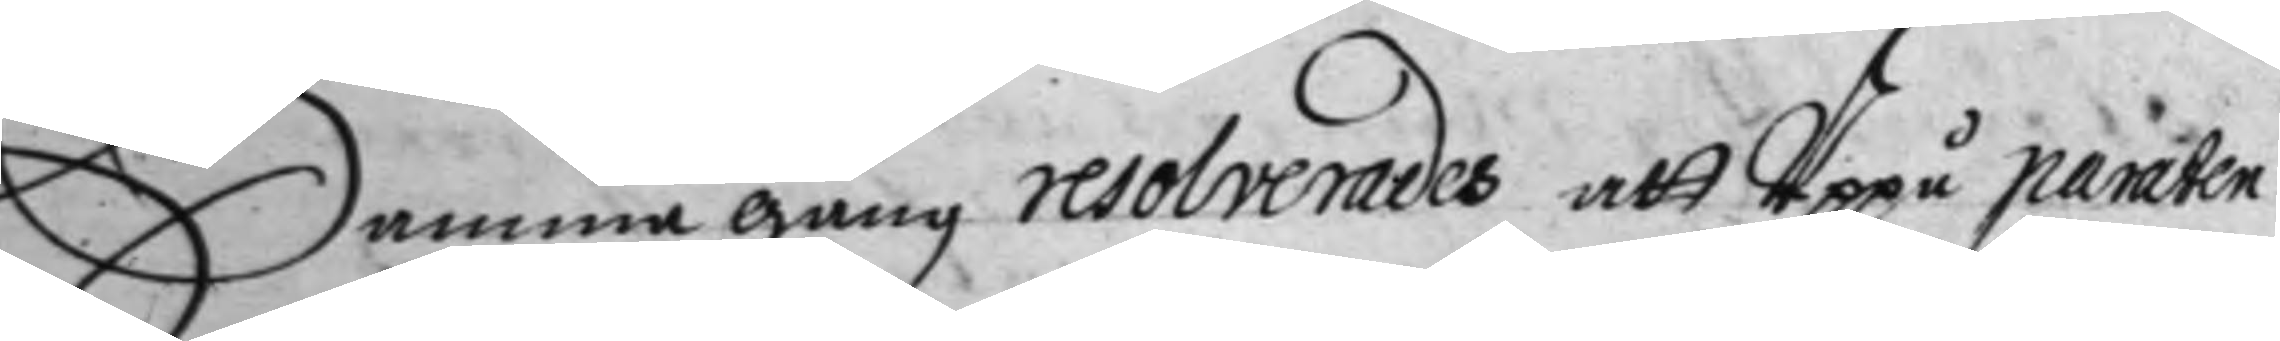Samma gång resolverades att Uppå paraten
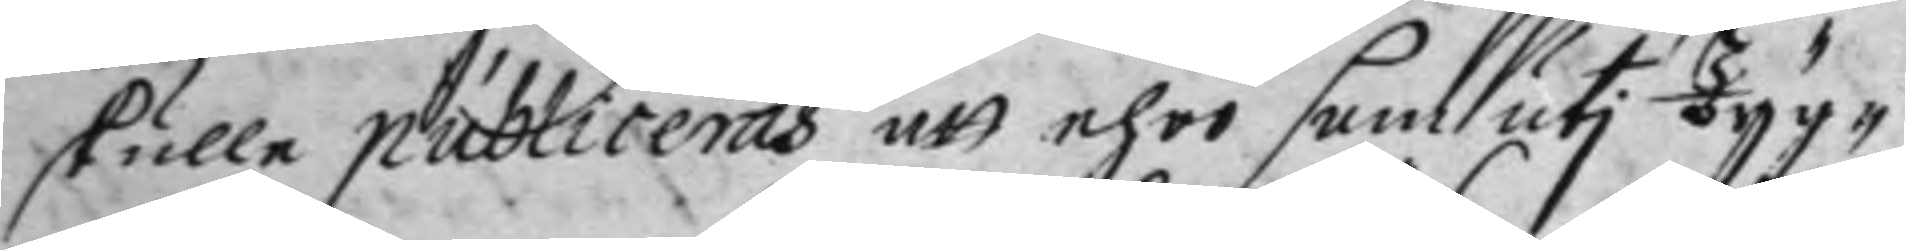skulle publiceras att ehor som uti Tyg¬
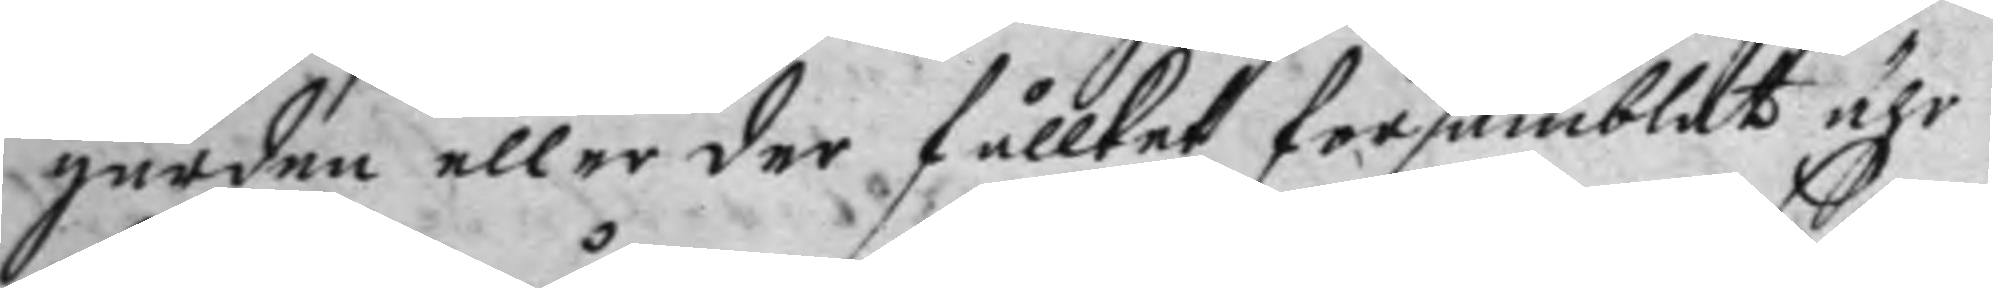gården eller der fållket församblat ähr
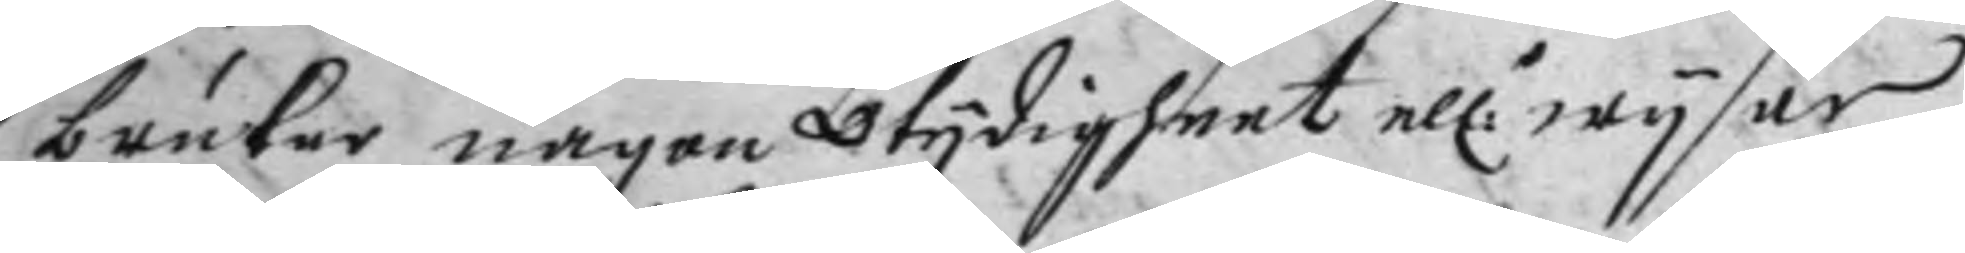bruker någon otydigheet el:r wysar
